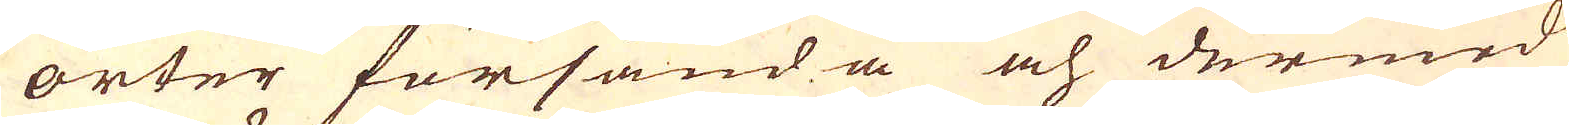orter försända och dermed
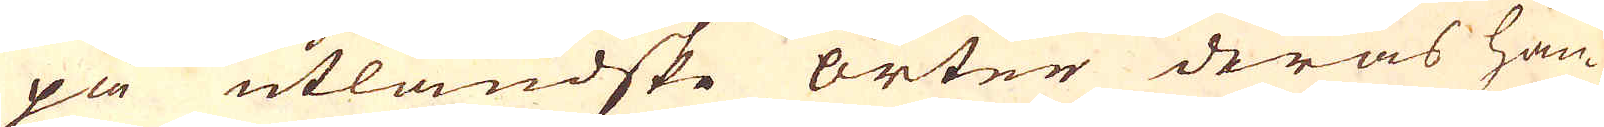på utländske orter deras han-
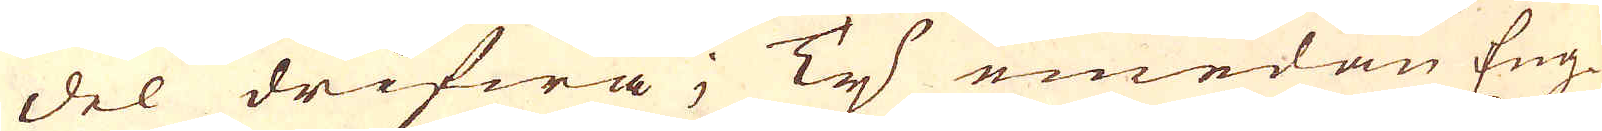del drifwa; Ty emedan Eng-
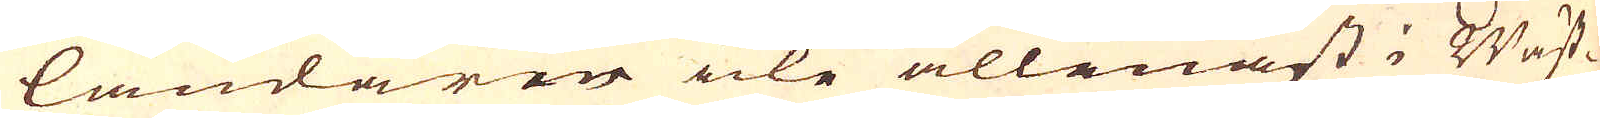ländaren icke allenast i Wäst-
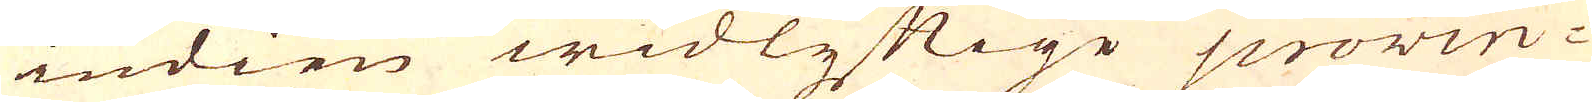indien widlyftige provin-
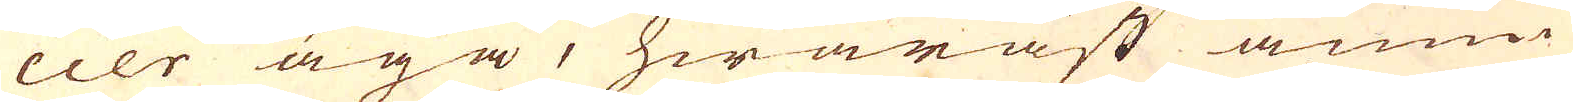cier äga, hwaräst ännu
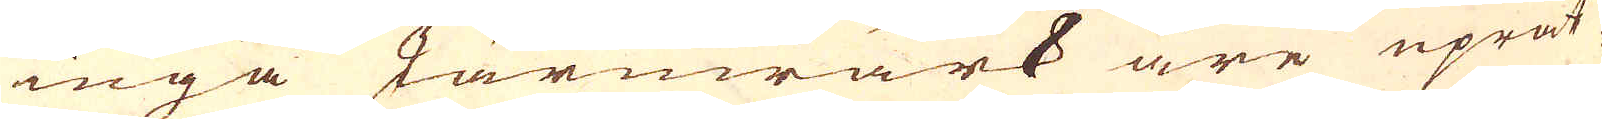inga Järnwärk äre uprät-
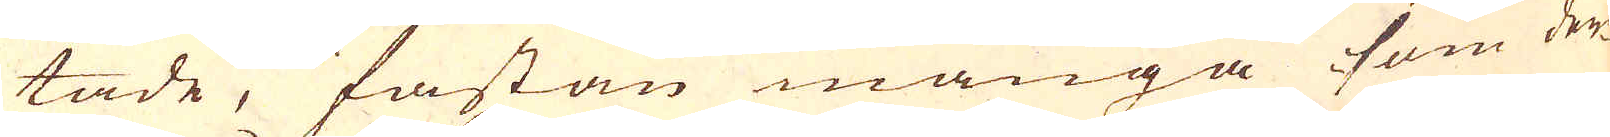tade, fastän många som der-
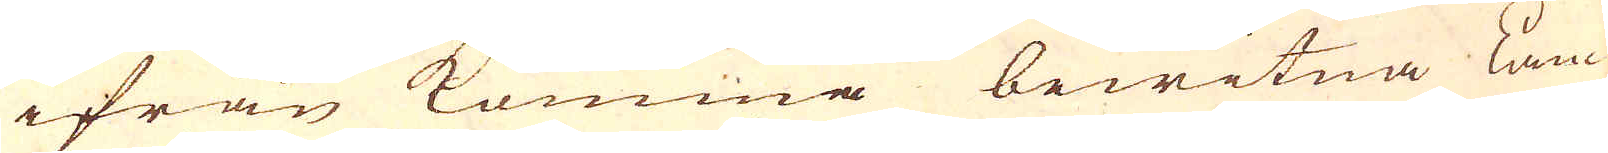ifrån komma bewitna kan
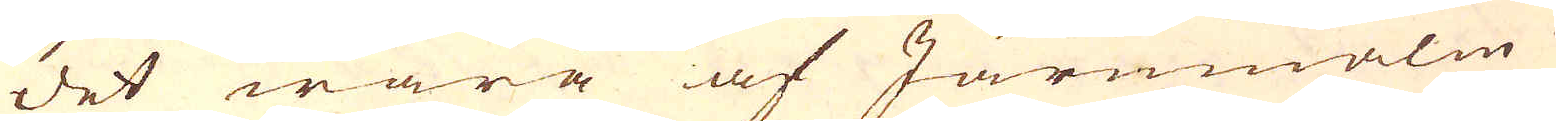det wara af Järnmalm
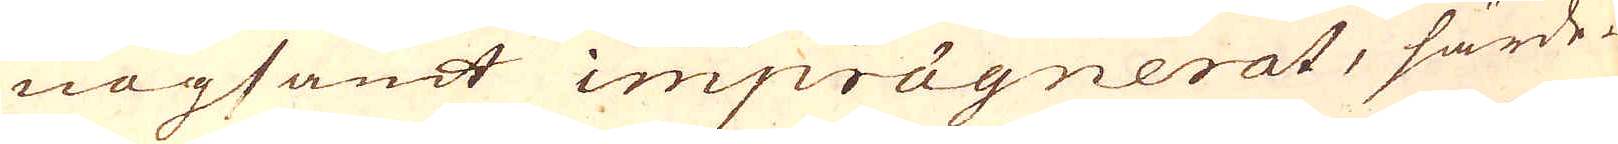nogsamt imprägnerat, särde-
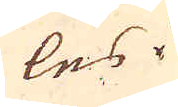les i
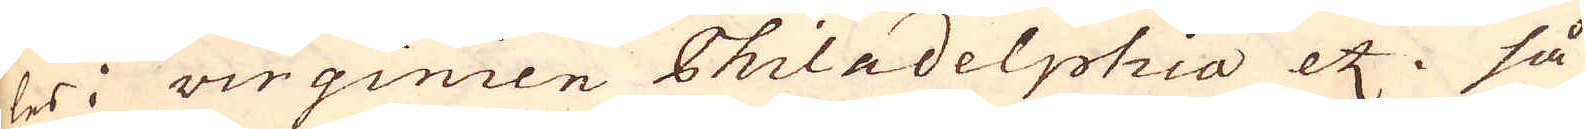les i Virginien Philadelphia etc. så
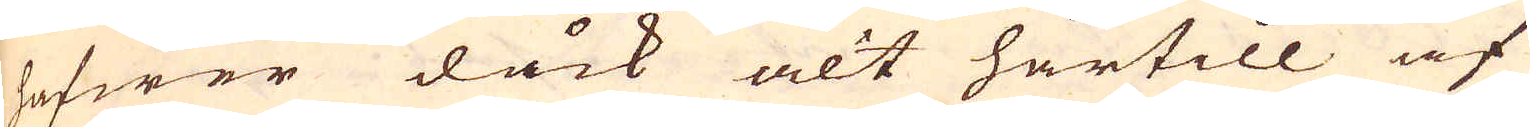hafwer dåck alt härtill af
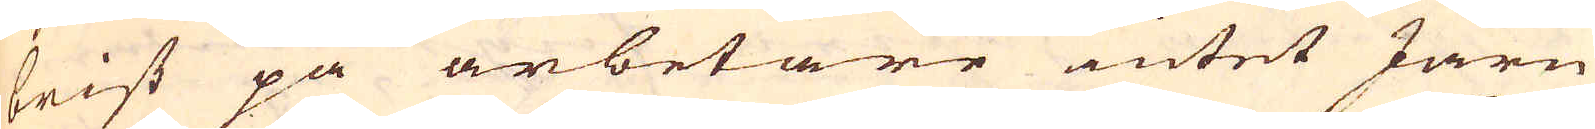brist på arbetare intet Järn
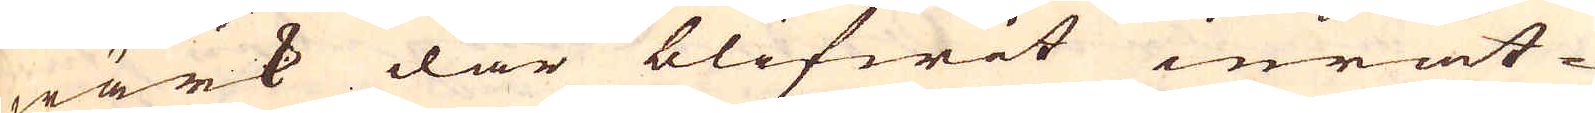wärk där blifwit inrät-
